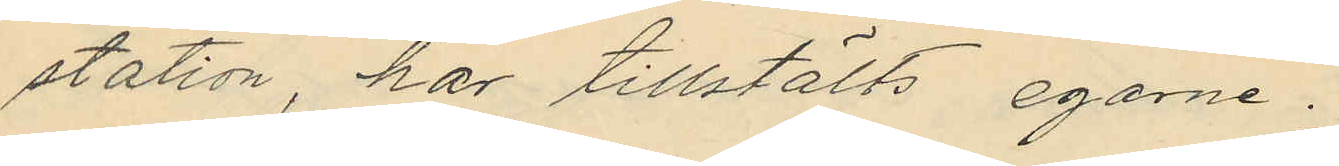station, har tillstälts egarne.
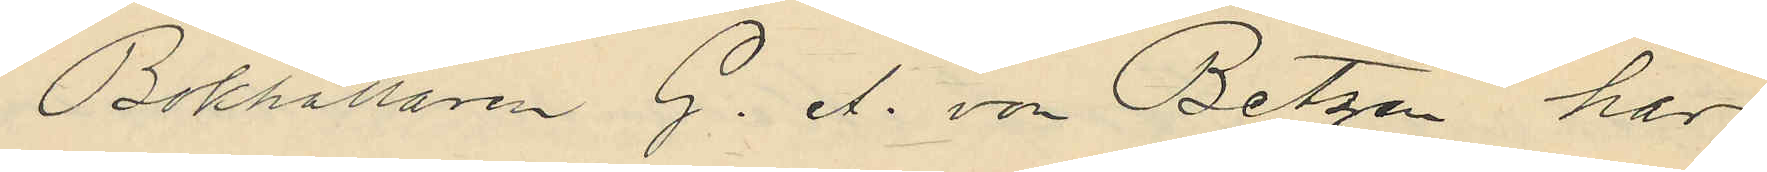Bokhållaren G. A. von Betzen har
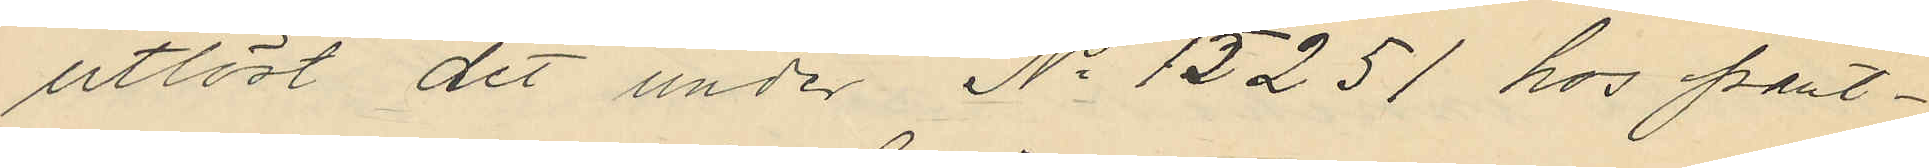utlöst det under No 15251 hos pant¬
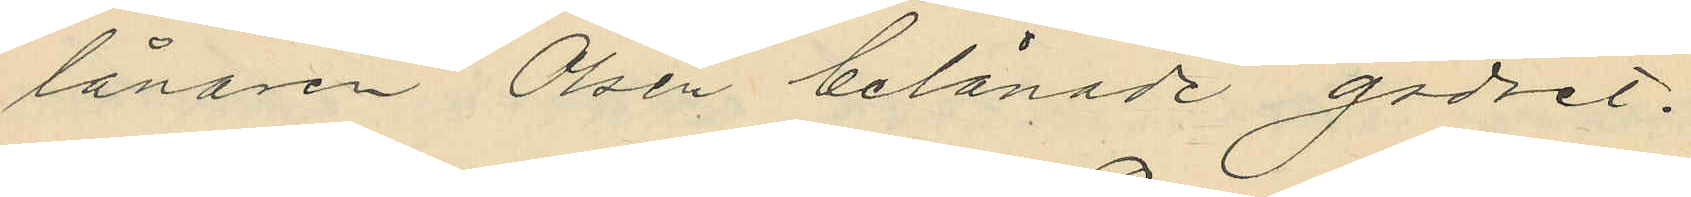lånaren Olsén belånade godset.
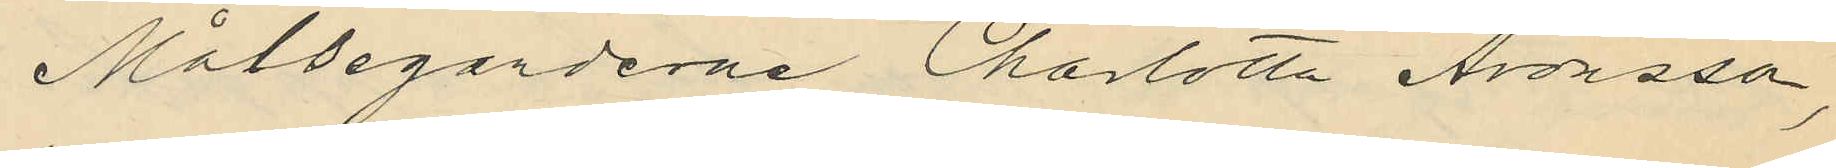Målseganderne Charlotta Arosson,
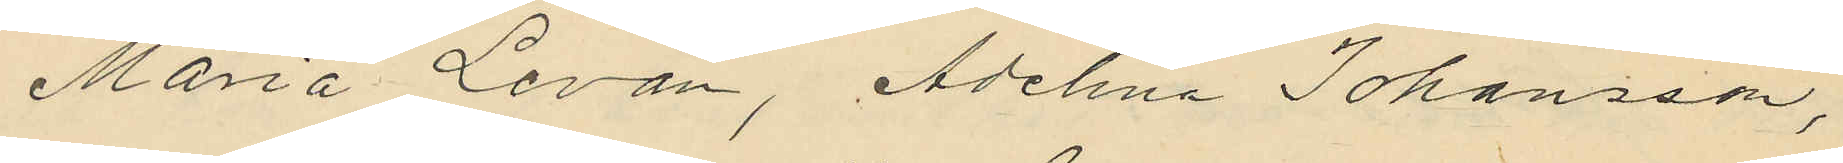Maria Levan, Adelina Johansson,
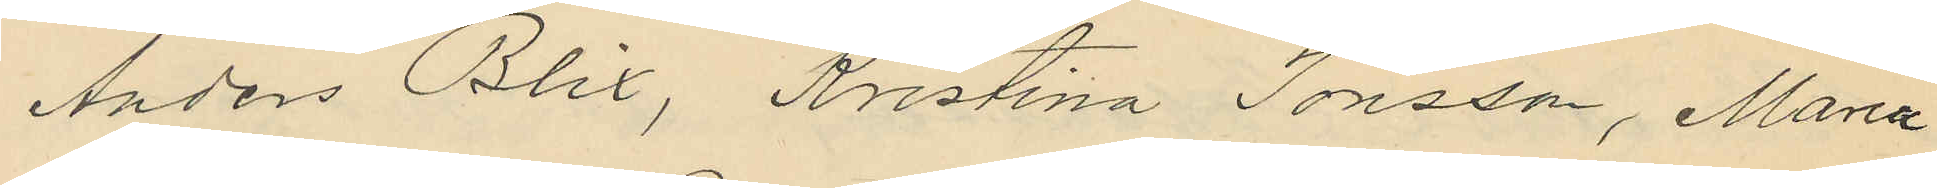Anders Blix, Kristina Jonsson, Maria
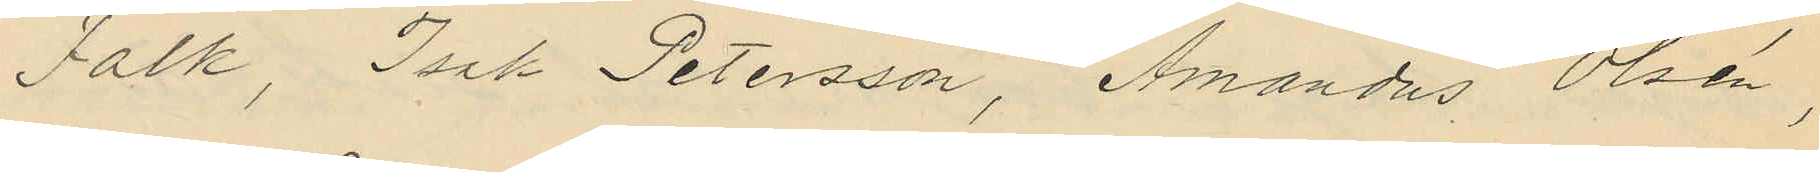Falk, Isak Petersson, Amandus Olsén,
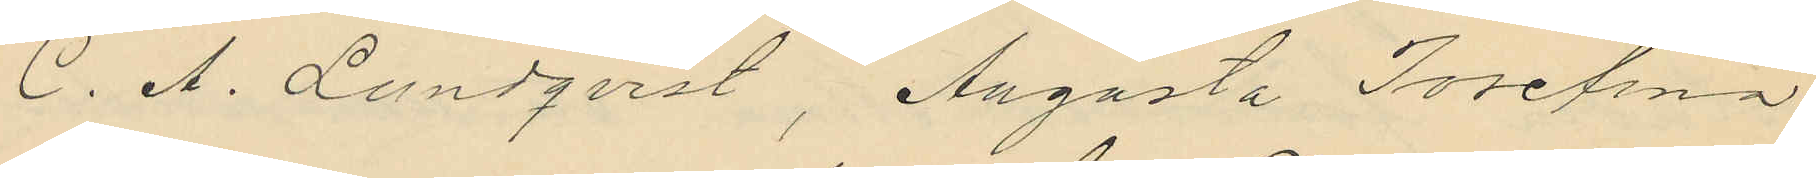C. A. Lundqvist, Augusta Josefina
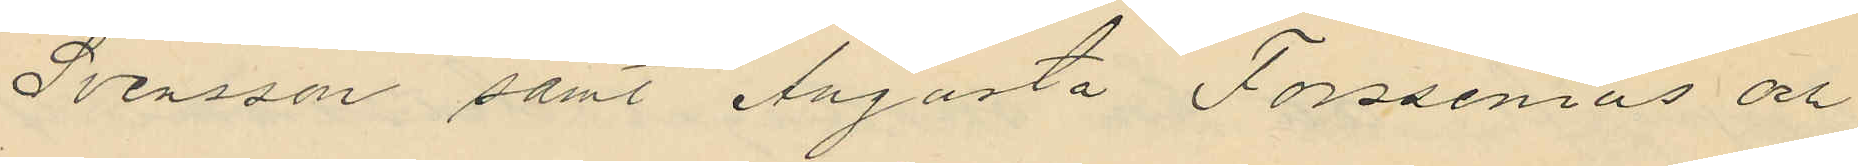Svensson samt Augusta Forssenius och
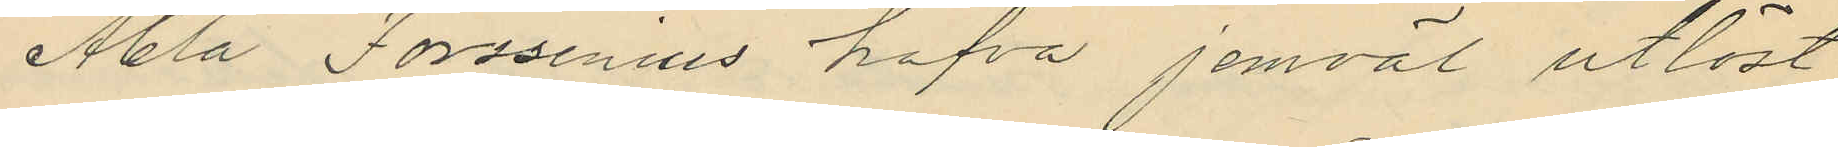Abla Forssenius hafva jemväl utlöst
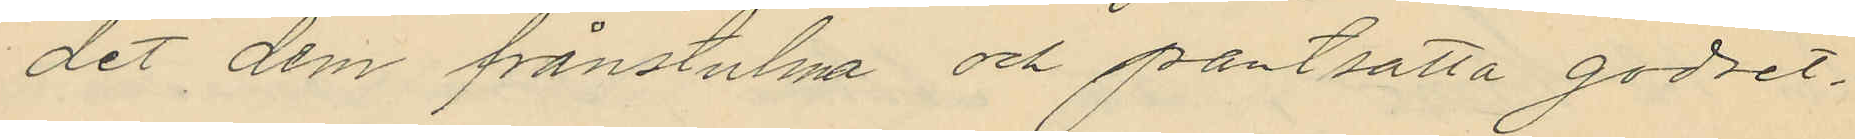det dem frånstulna och pantsatta godset.
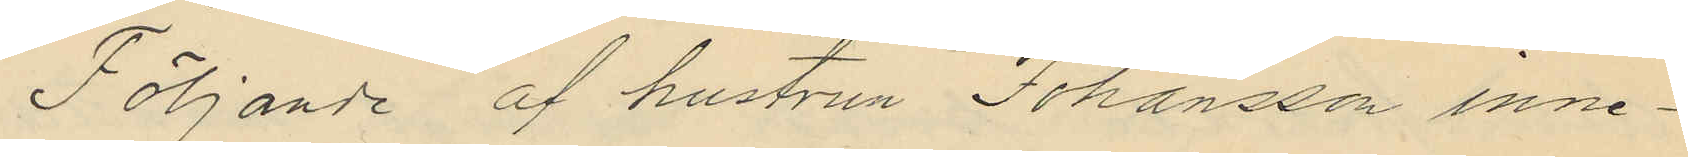Följande af hustrun Johansson inne¬
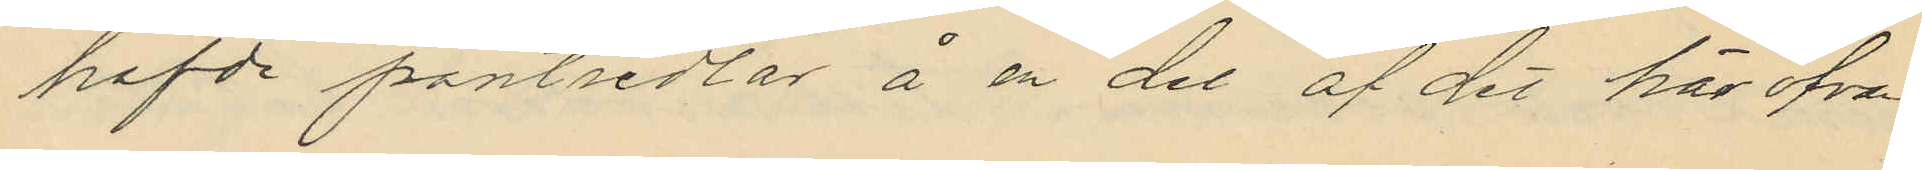hafde pantsedlar å en del af det här ofvan
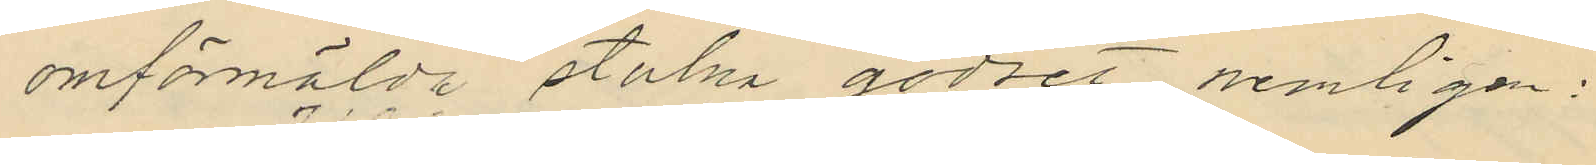omförmälda stulna godset nemligen:
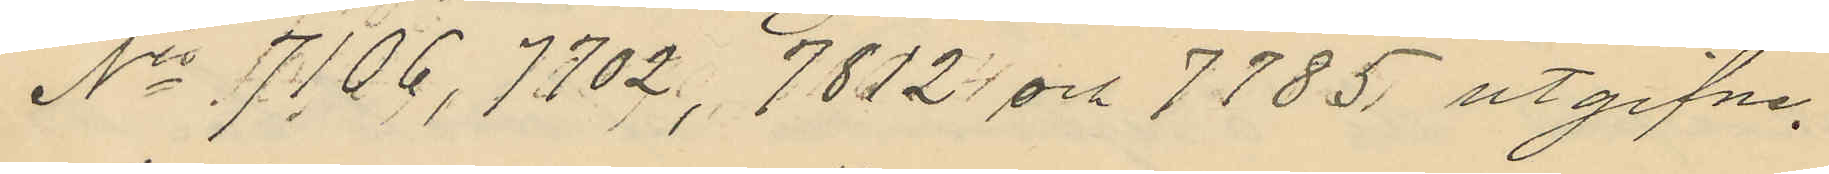No 7106, 7702, 7812 och 7785 utgifne
